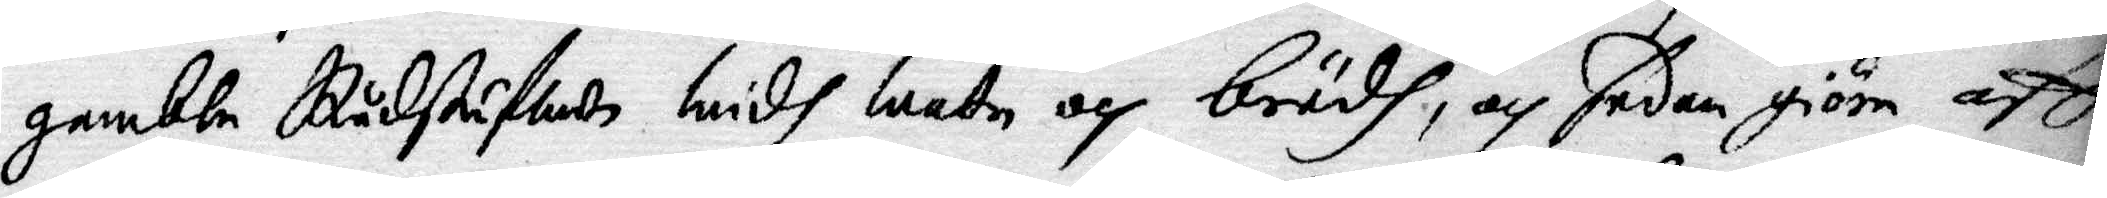gambla Rådstufwan widh watn och brödh, och sedan giöra aff¬
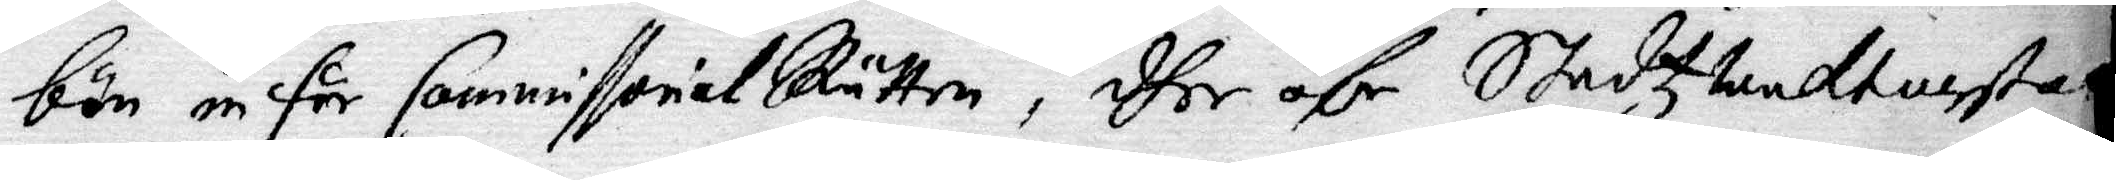bön inför CommissorialRätten, dher ähr Stadzwaktmestaren
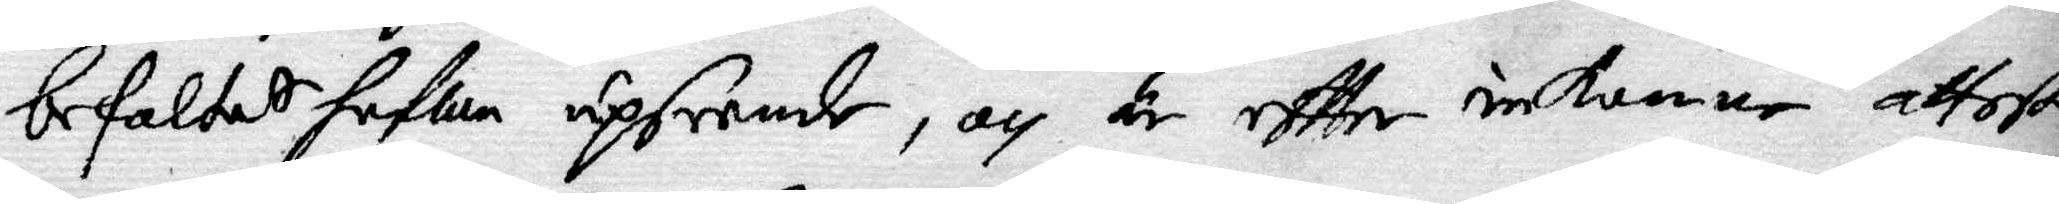befaldtes hafwa upseende, och är effter inkomne attester
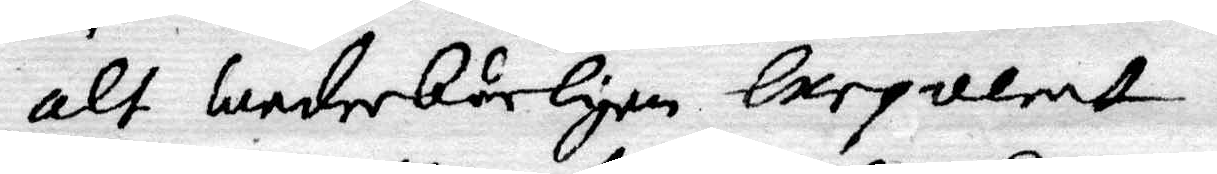alt wederbörligen exeqverat.
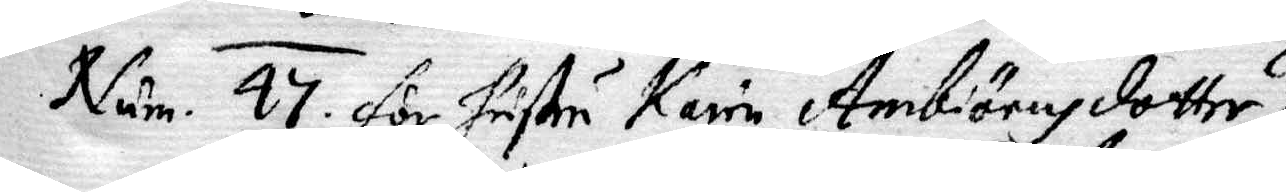Num. 47 för hustru Karin Ambiörnsdotter
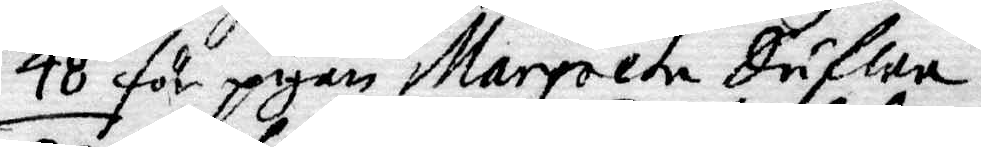48 för pigan Margreta Dufwa
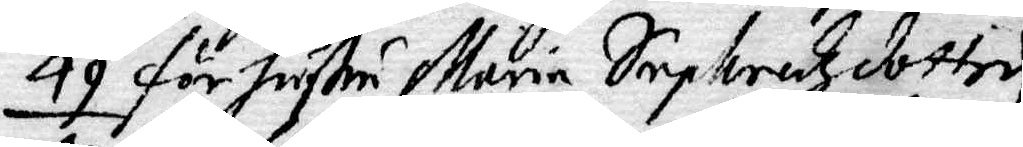49 för hustru Maria Sephredzdotter
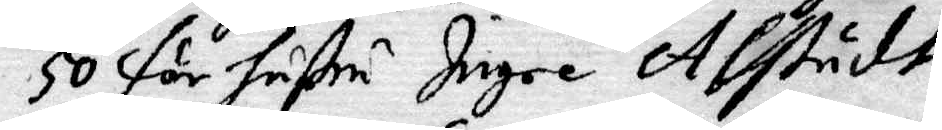50 för hustru Ingre Alstudt
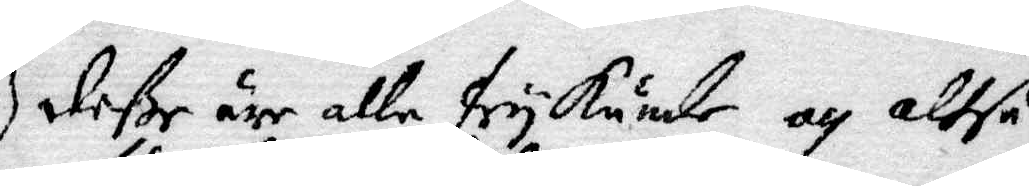deße är alle frykände och altså
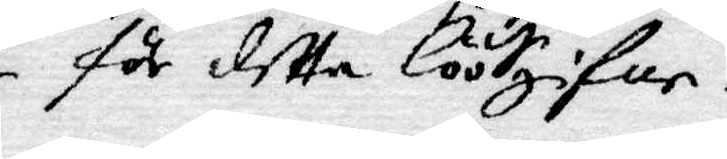för detta löösgifne.
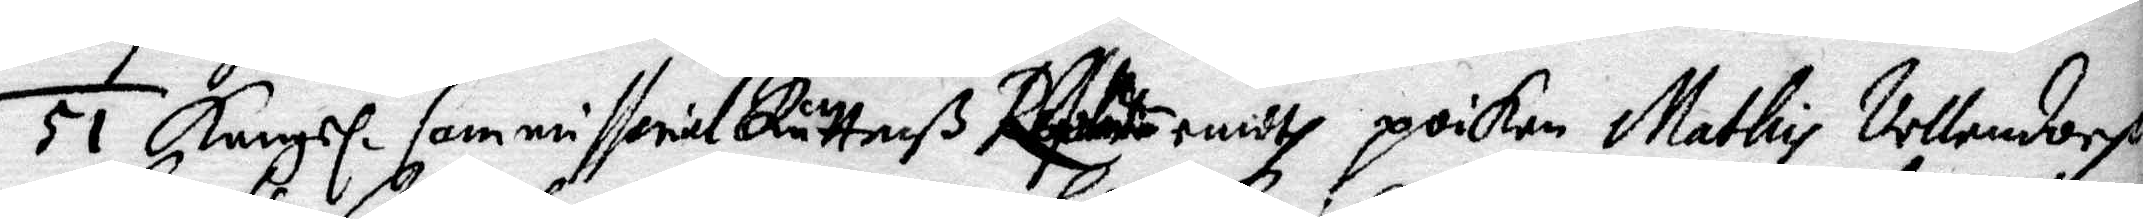51 Kongl. Commissorial Rättenß Resolutio emodt poiken Mathis Vellamdorp
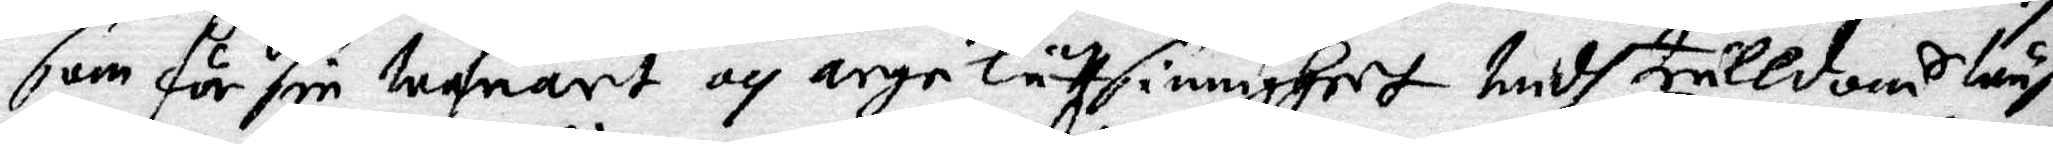som för sin wahnart och arge lättsinnighet medh trulldomS lunf
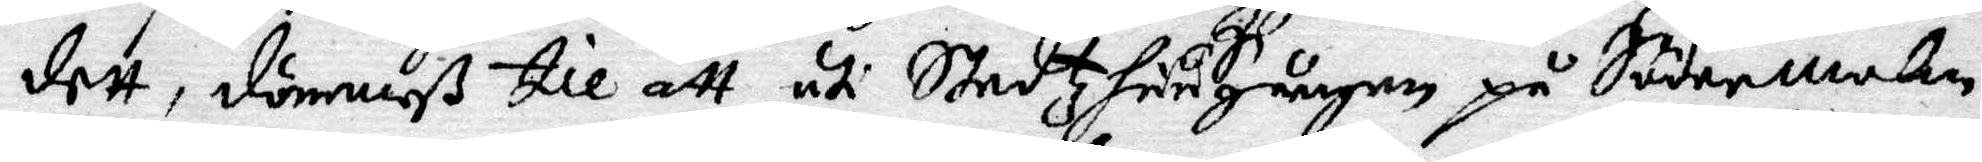dett, dömmeß till att uti StadtzhuuSgången på Södermalm,
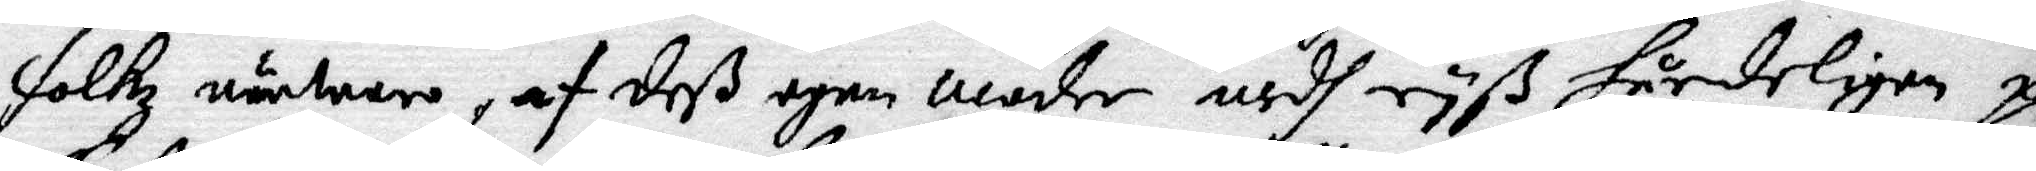folkz närwaro, af deß egen moder medh rys hårdeligen pi¬
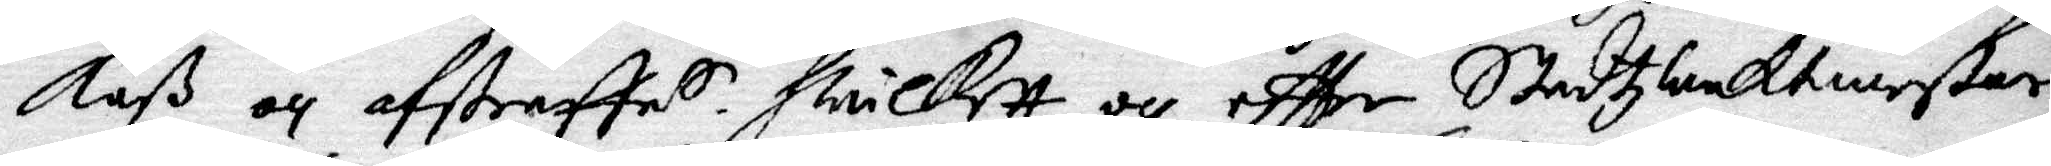kaß och afstraffas. hwilket och eftter Stadtzwaktmestaren
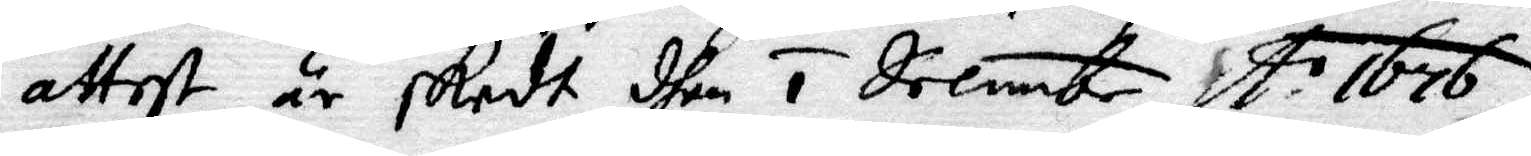attest är skedt dhen 1 decembr A:o 1676.
